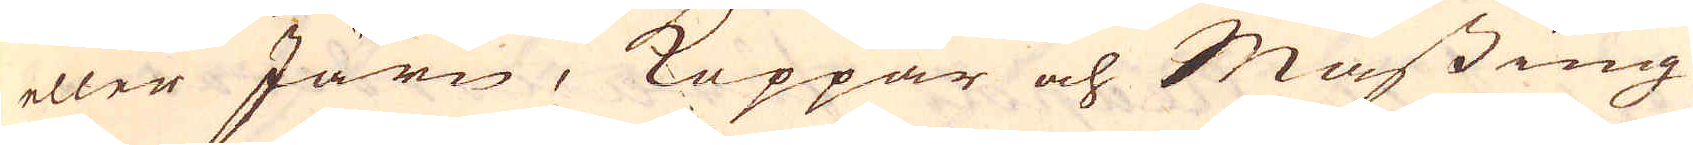eller Järn, Koppar och Mässing
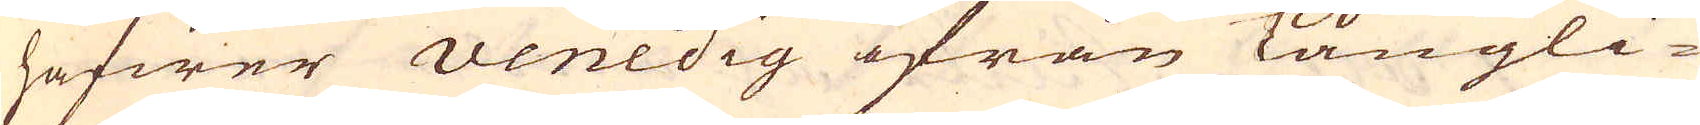hafwer Venedig ifrån Långli-
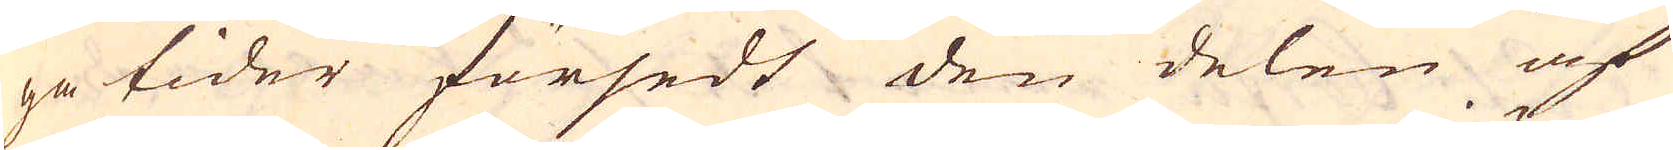ga tider försedt den delen af
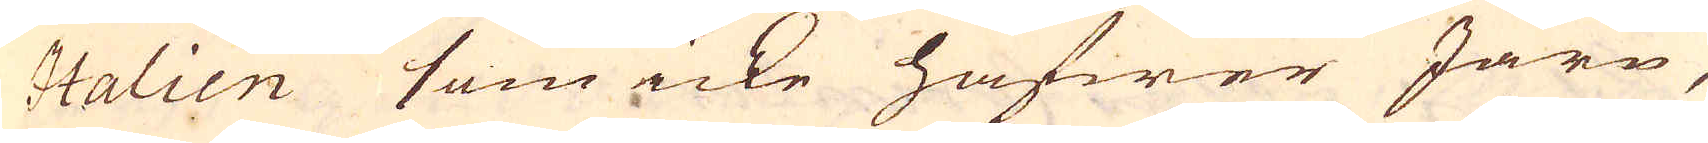Italien som icke hafwer Järn,
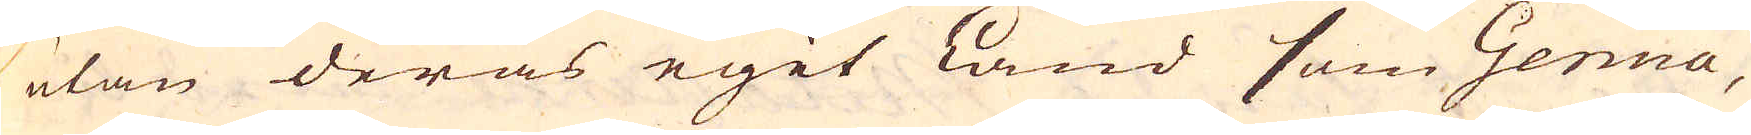utan deras egit land som Genua,
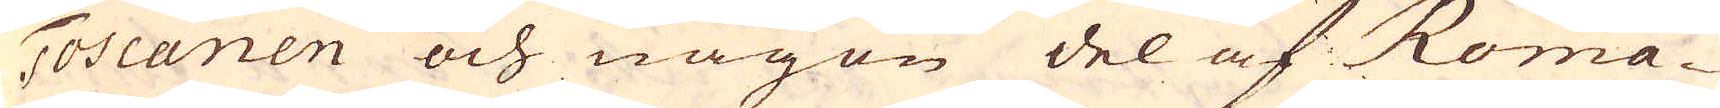Toscanen och någon del af Roma-
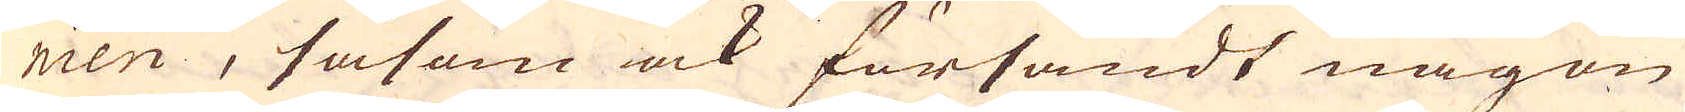nien, såsom ock försändt någon
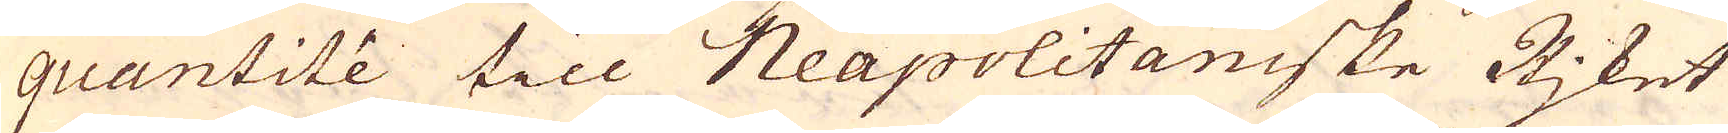quantité till Neapolitaniske Rjket
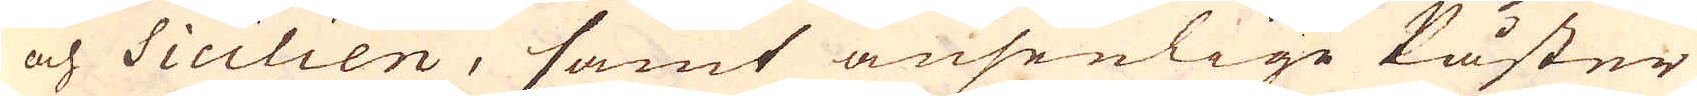och Sicilien, samt ansenlige Påster
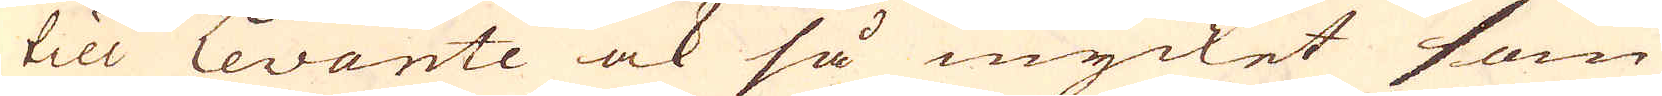till Levante ock så mycket som
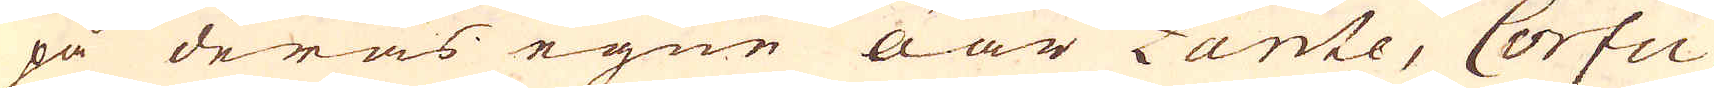på deras egne öar Zante, Corfu
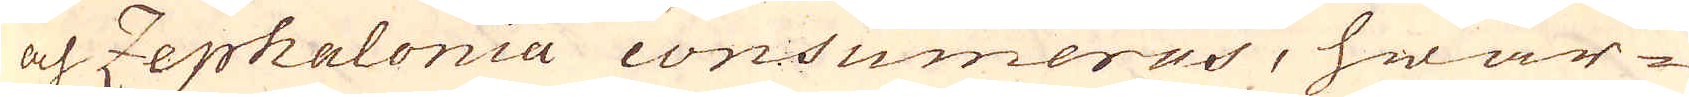och Zephalonia consumeras, hwar-
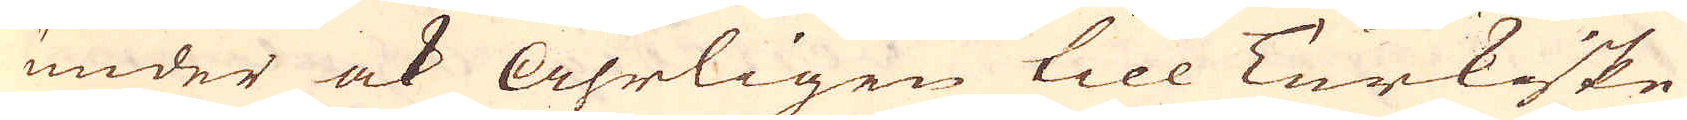under ock åhrligen till Turkiske
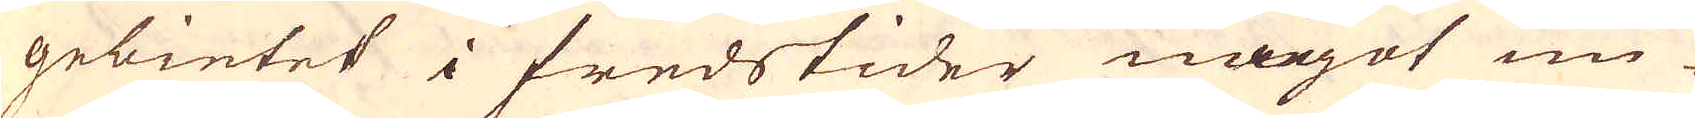gebietet i fredstider något un-
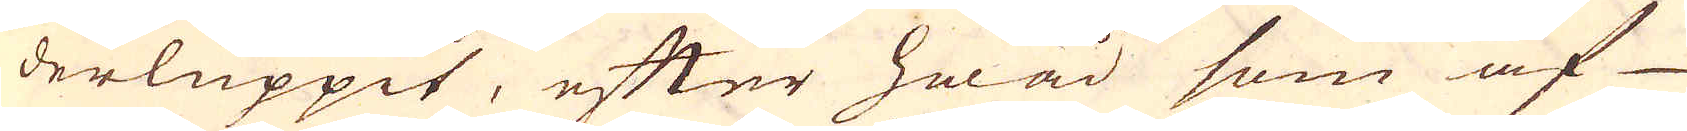derluppit, efter hwad som af
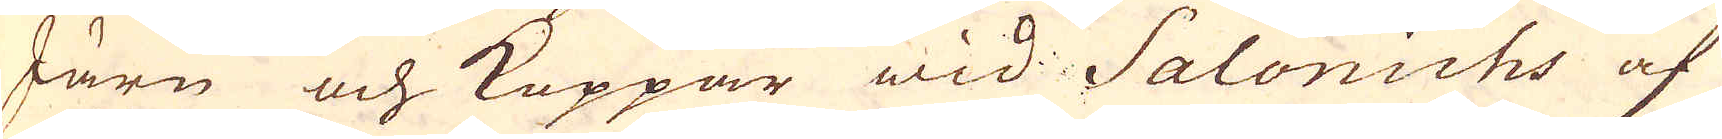Järn och Koppar wid Salonichs af
